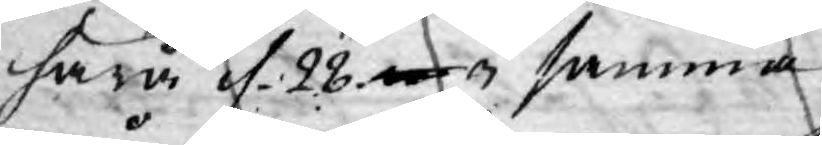härå d. 28 ma i samma
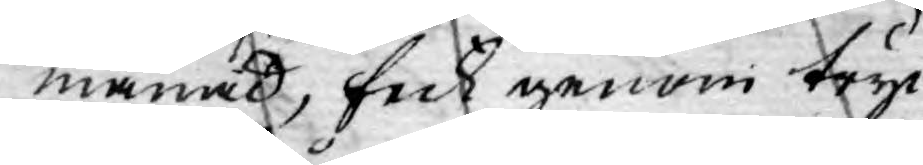månad, feck genom tryc¬
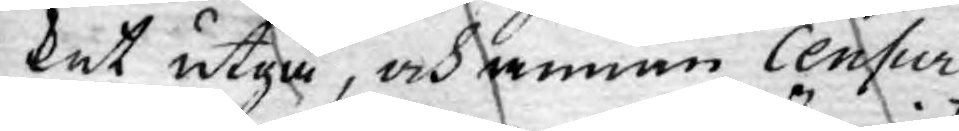ket utgå, och annan Censur
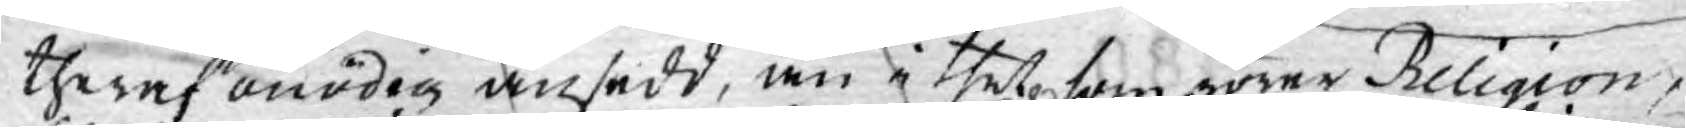theraf onödig ansedd, än i thet som rörer Religion,
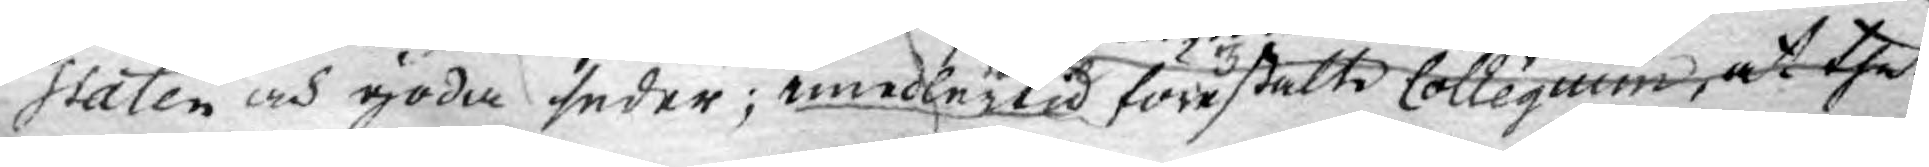Staten och goda seder; imedlertid förestälte Collegium, at thet
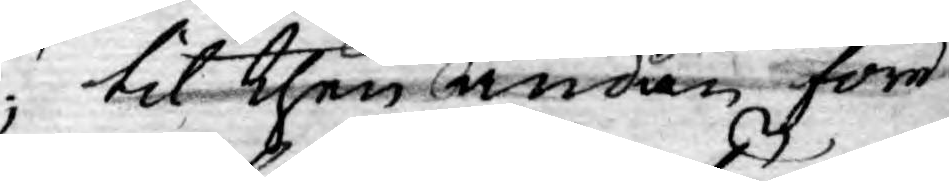til then andan före¬
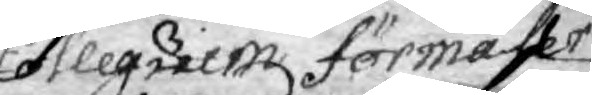Collegium förmäler samma underdånige skrifwelse till Kongl. Mayt sig hafwa
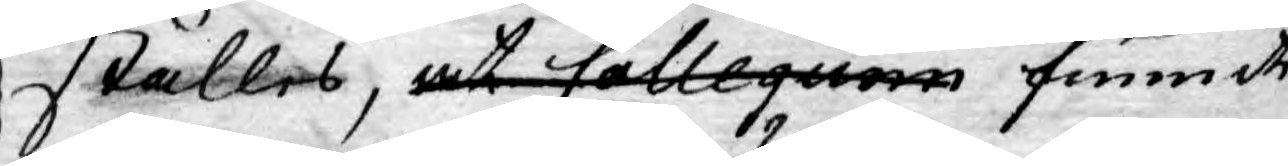ställes, at Collegium funnit
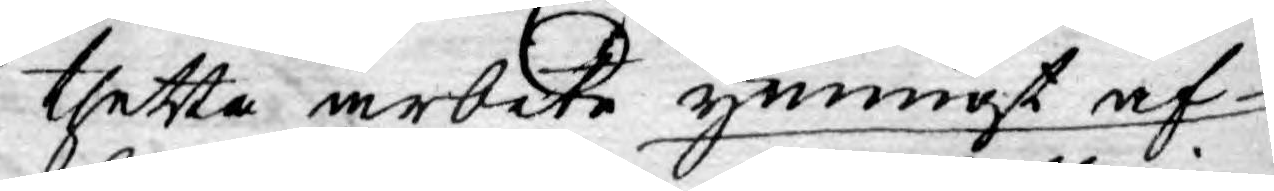thetta arbete ymnigt af
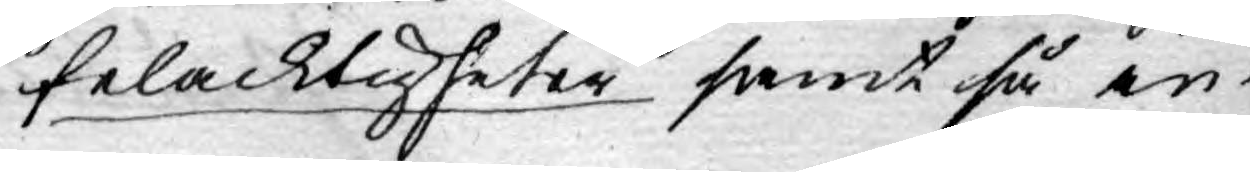felacktigheter samt så in¬
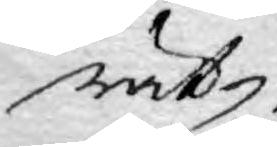rät¬
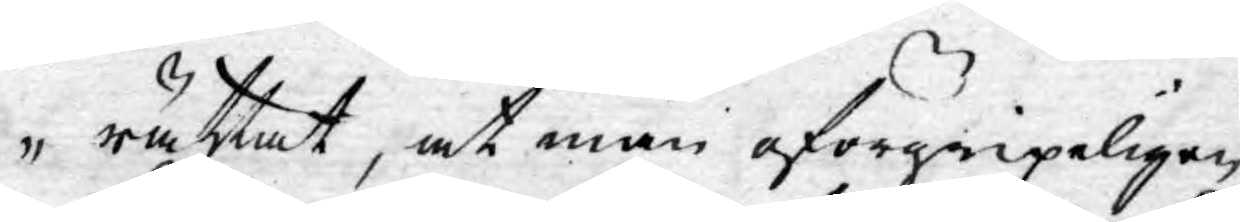rättat, at man oförgripeligen
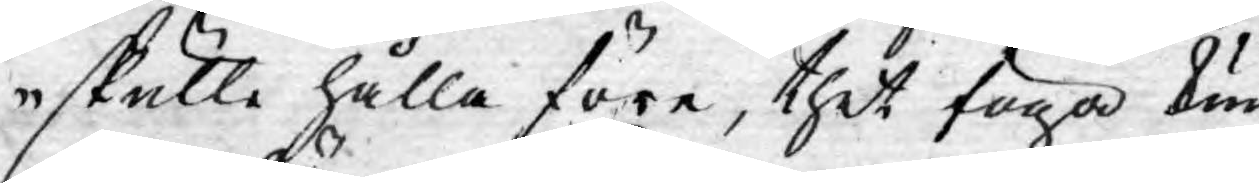skulle hålla före, thet föga kun¬
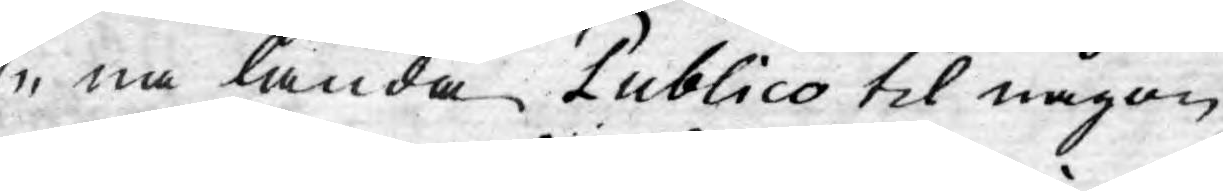na lända Publico til någon
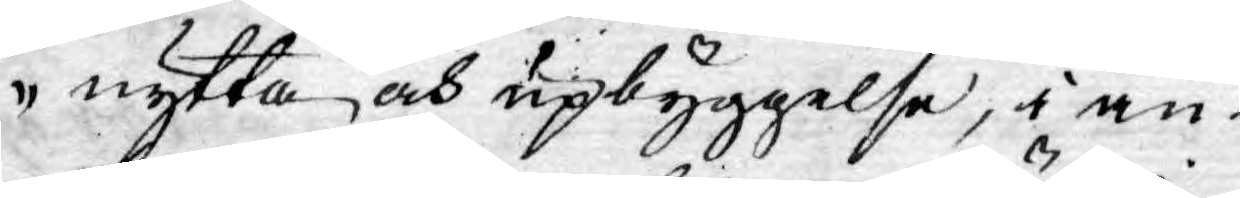nytta och upbyggelse, i an¬
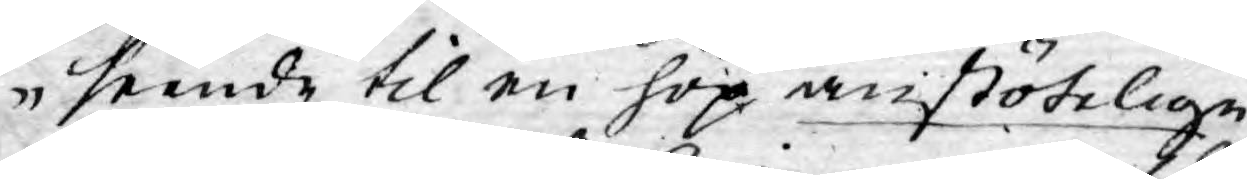seende til en hop anstötelige
